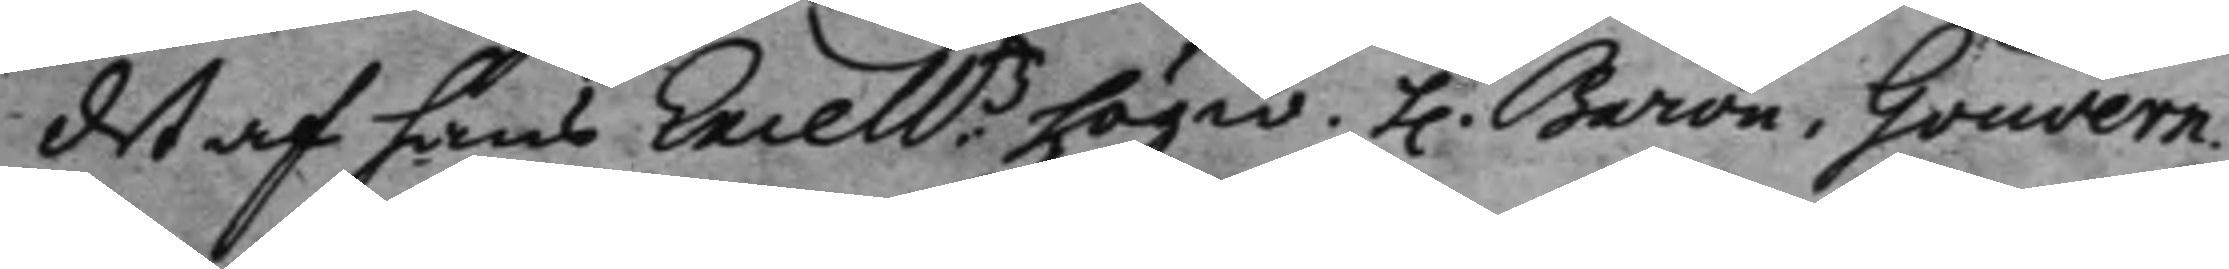det af hans Excell:tz högw. h. Baron. Gouvern.
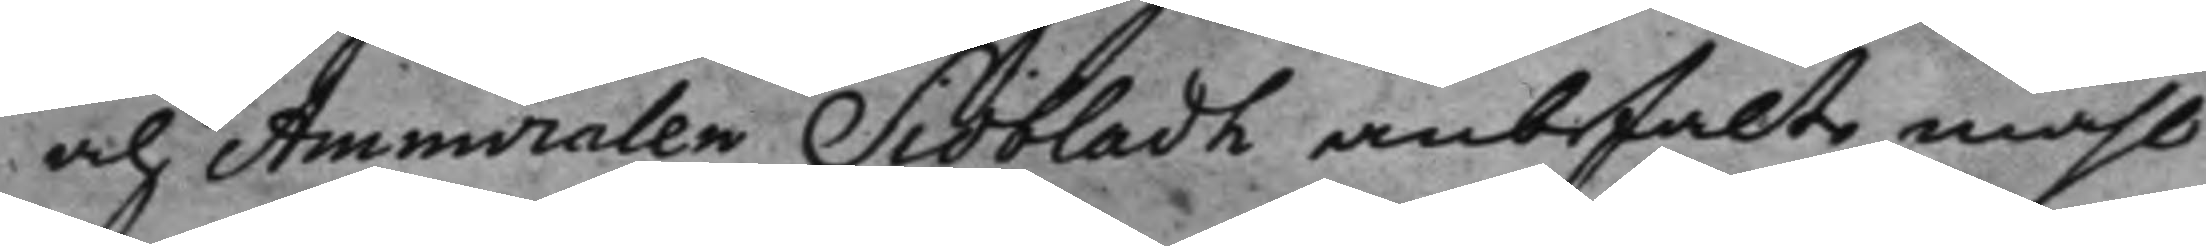och Ammiralen Siöbladh anbefalt måhl
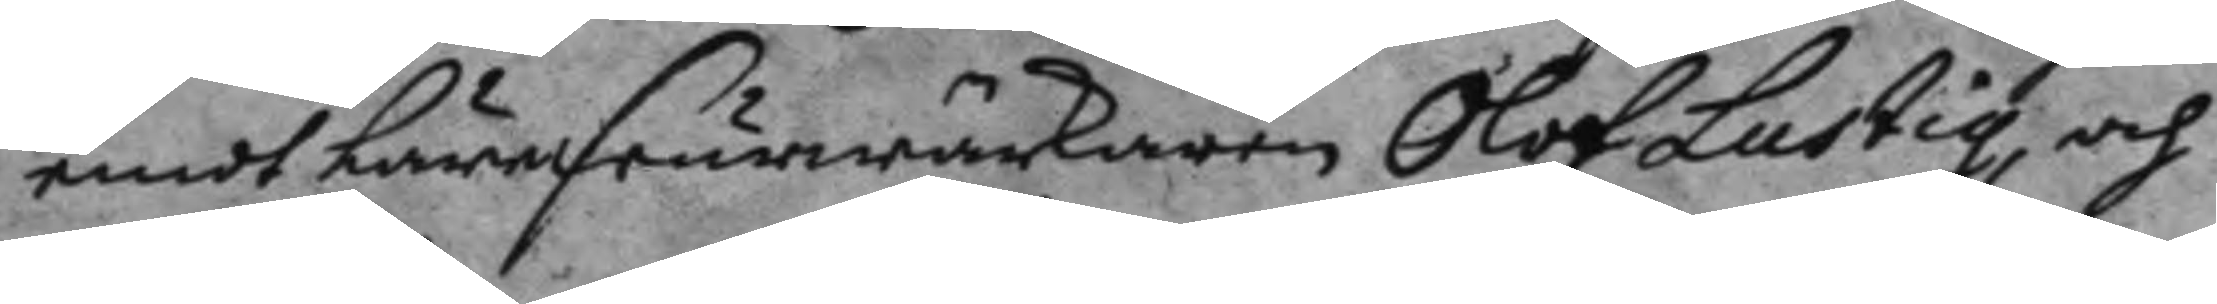emot Lärefeurwärkaren Olof Lustig, och
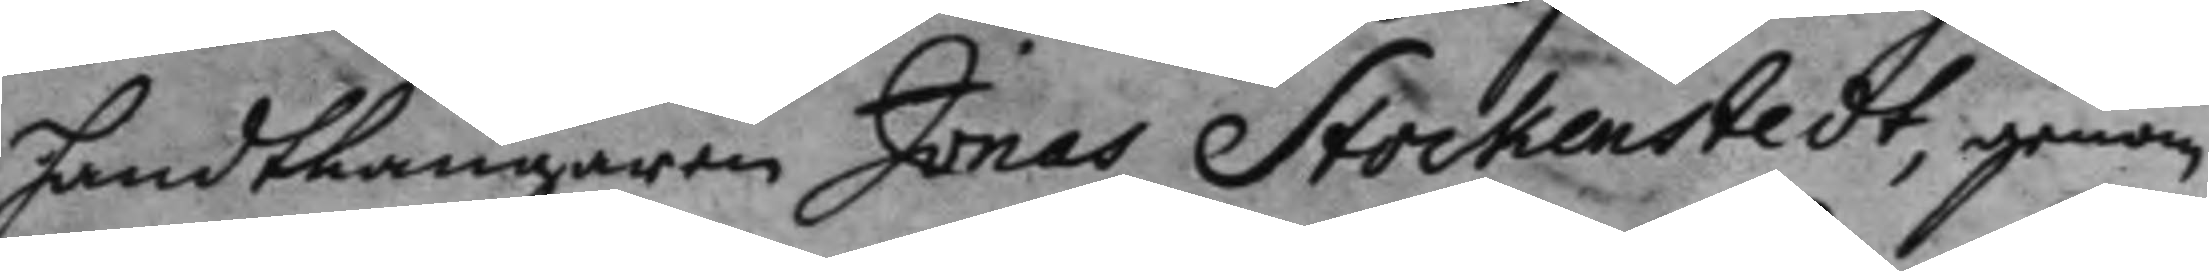handtlangaren Jonas Stockenstedt, genom
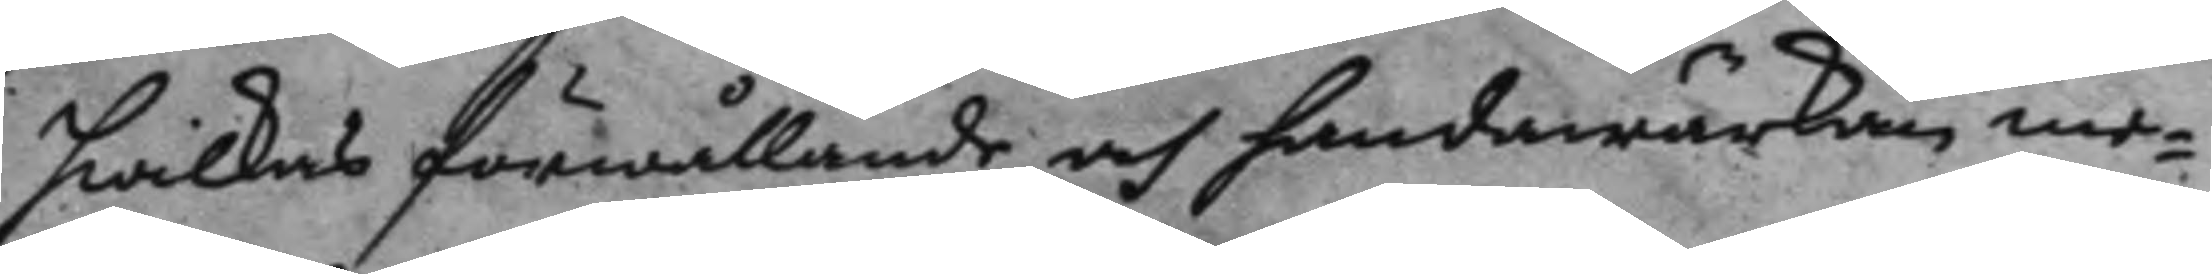hwilkas förhllande och handawärkan me¬
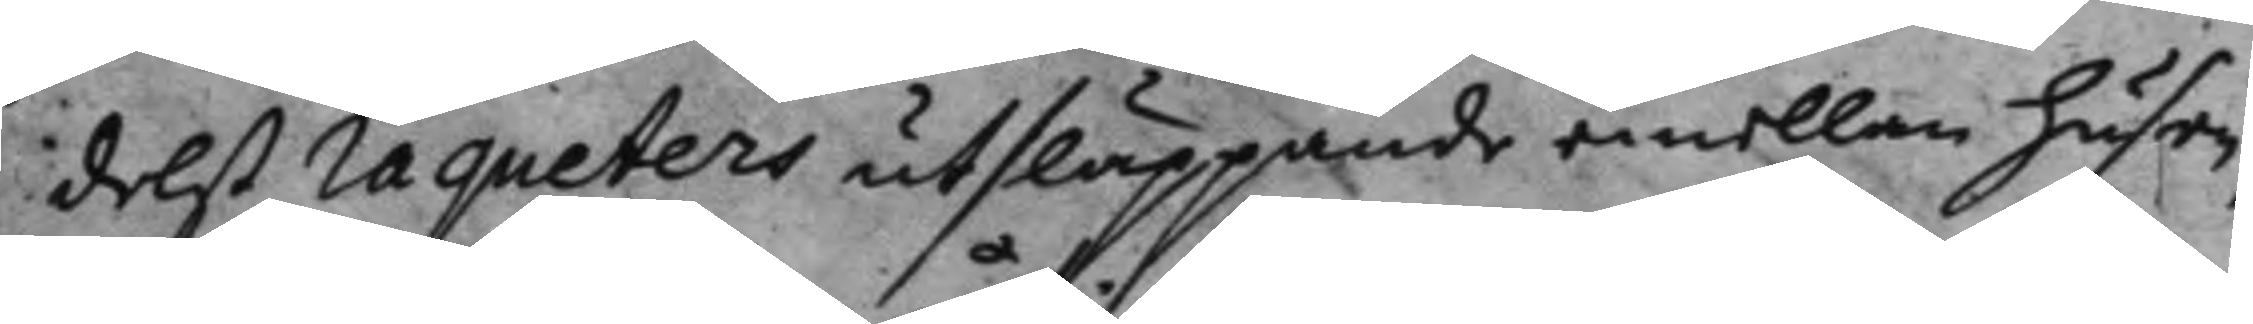delst raqueters utsläppande emellan husen,
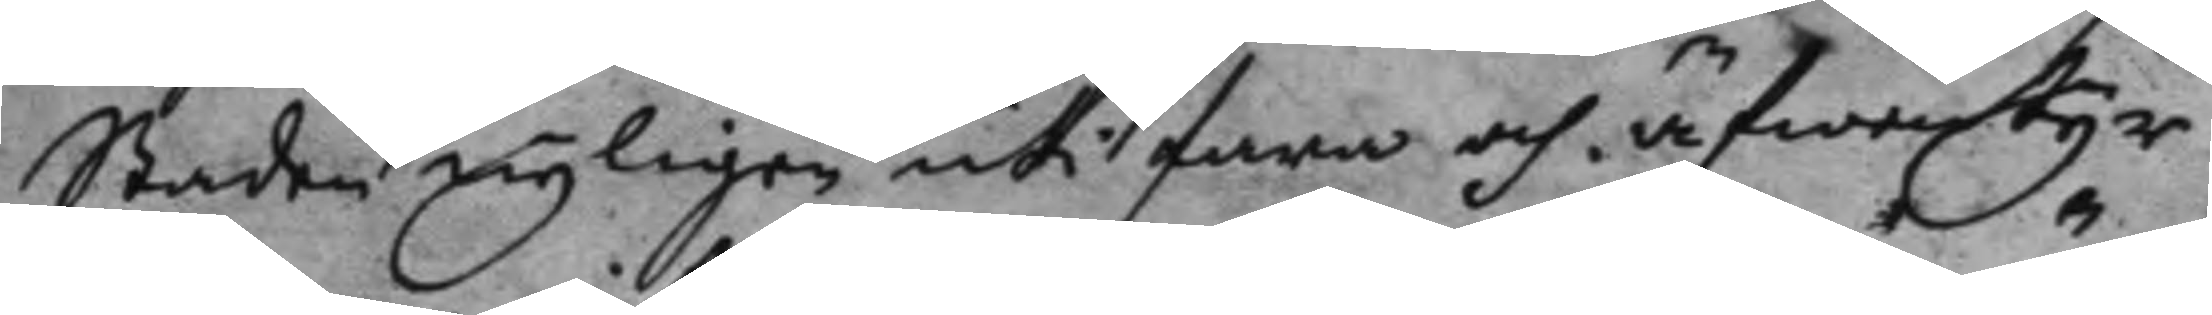Staden nyligen uti fara och äfwentyr
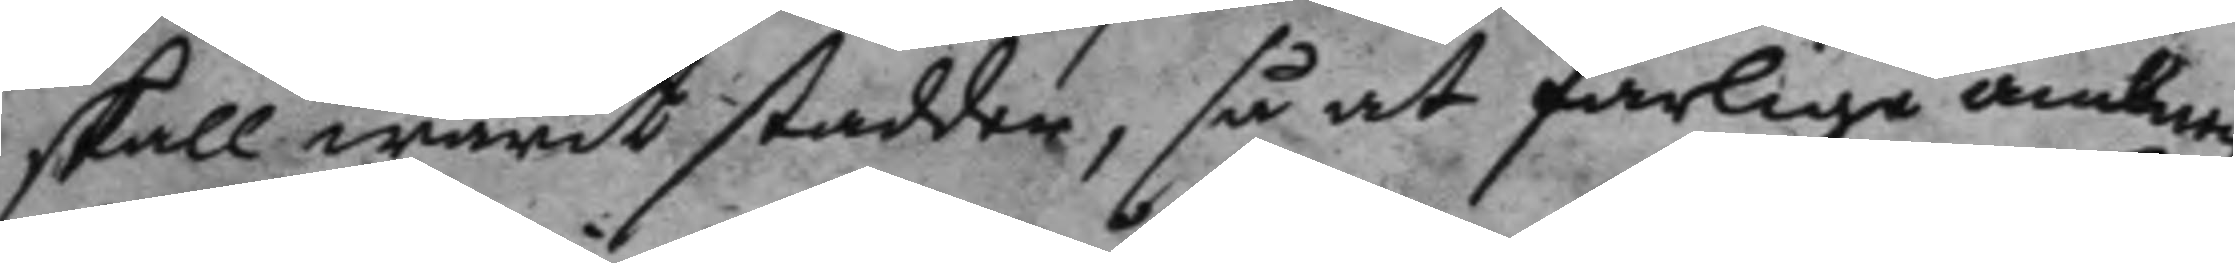skall warit stadder, så at farlige ännt
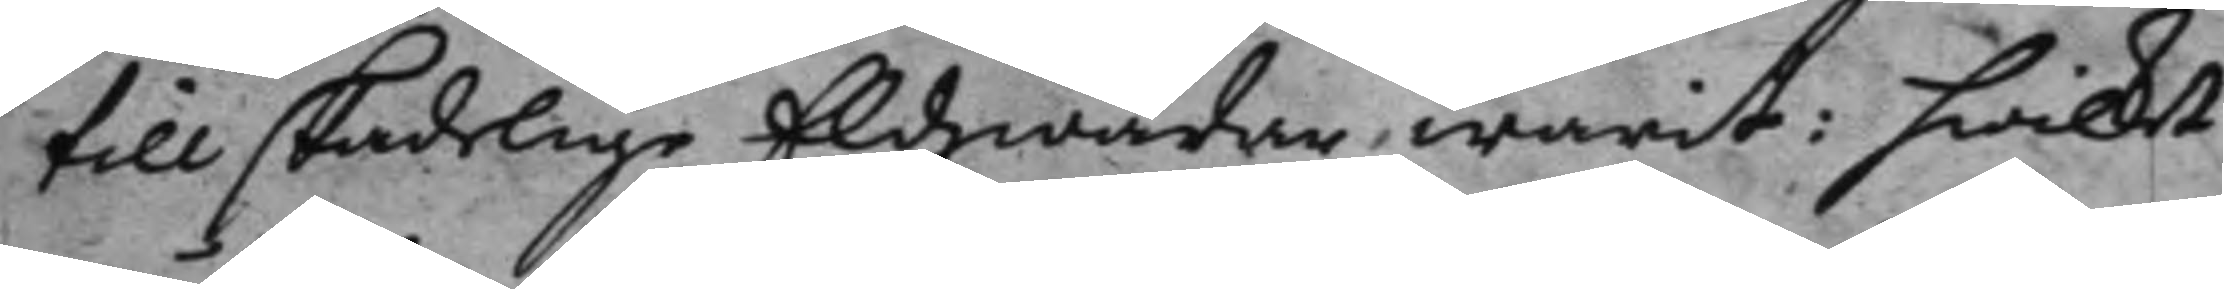till skadelige Eldwådar warit: hwilket
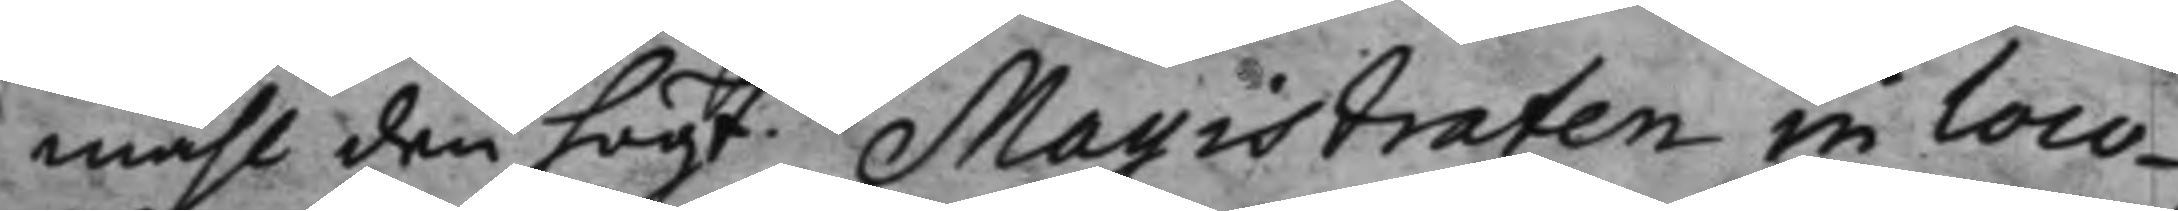måhl den högt.de Mayistraten in loco
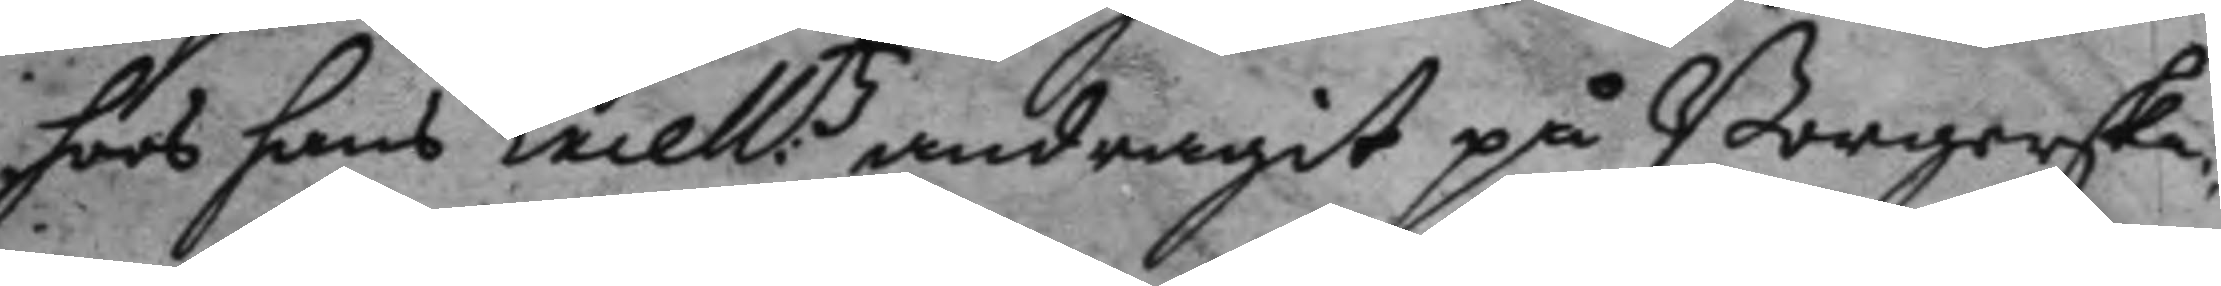hoos hans Excell:tz andragot på Borgerska¬
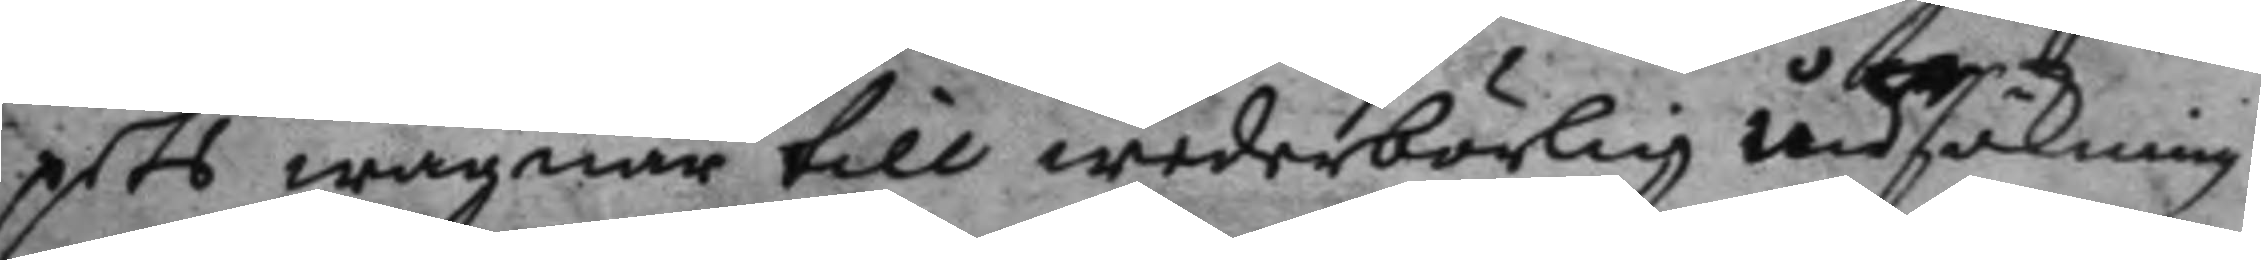pets wägnar till wederbörlig undsökning
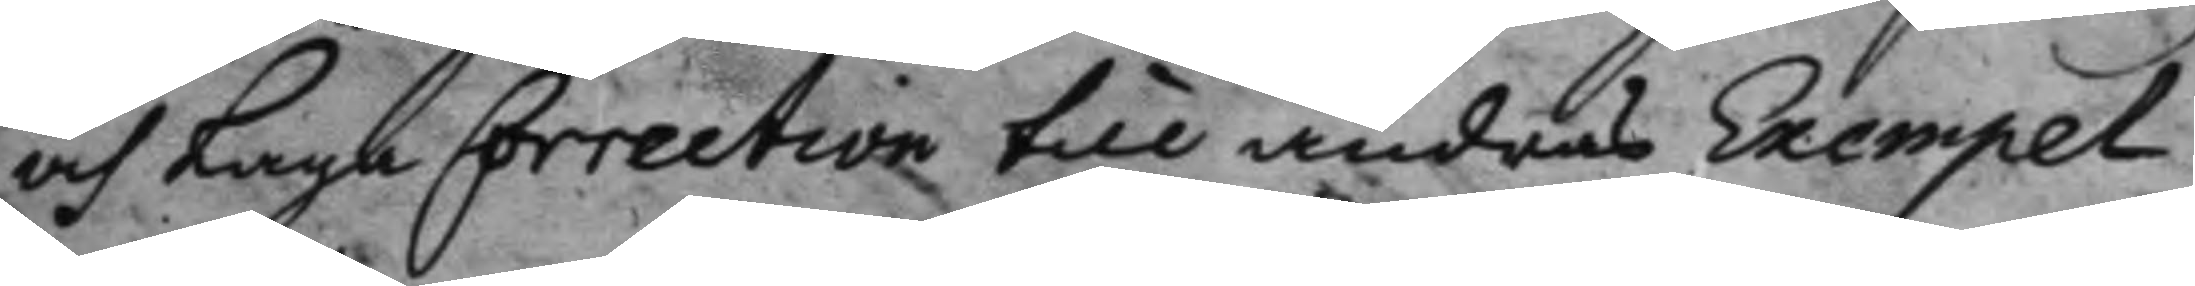och Laga Correction till andras Exempel
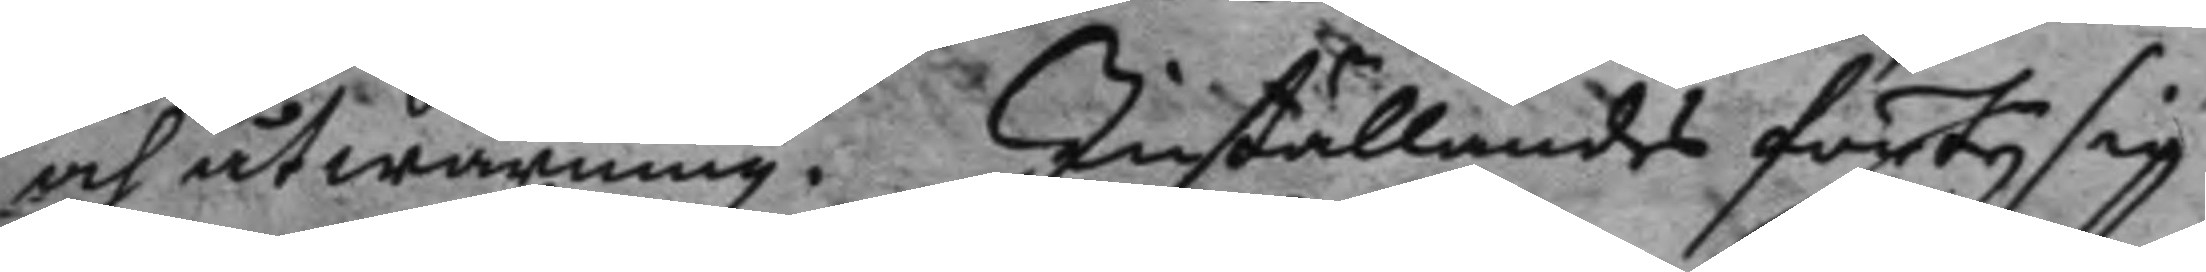och åtwarning. Inställandes förty sig
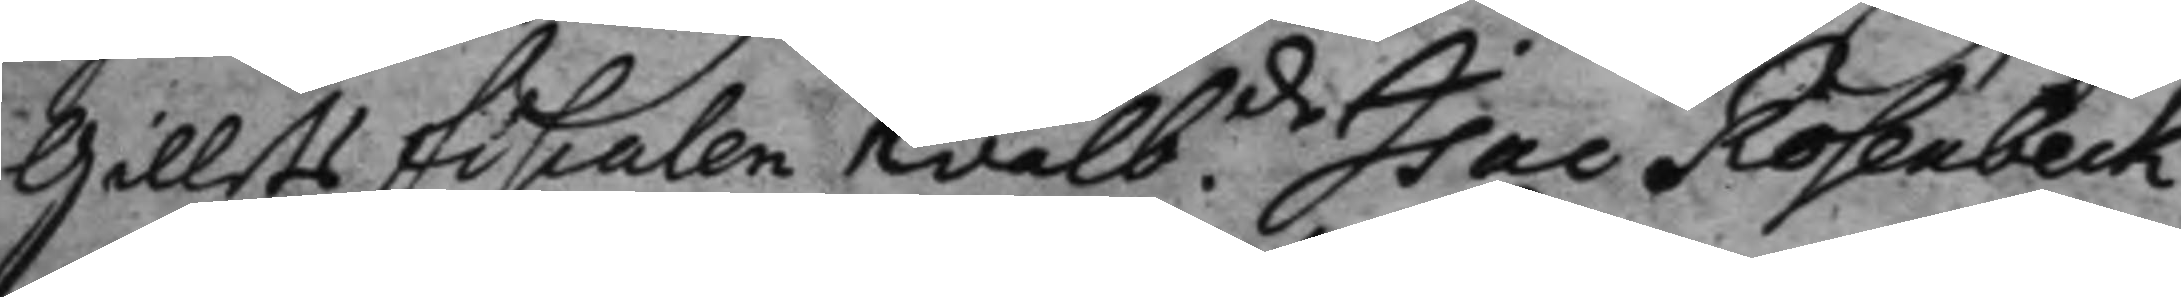Gillets fiskalen wälb.de Isac Rosenbeck
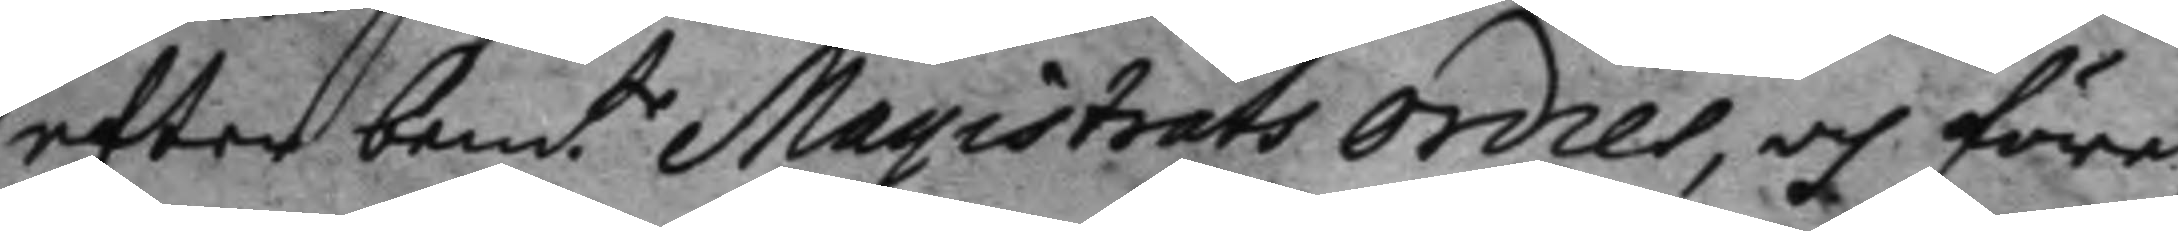efter bemd.e Magistrats ordres, och före¬
